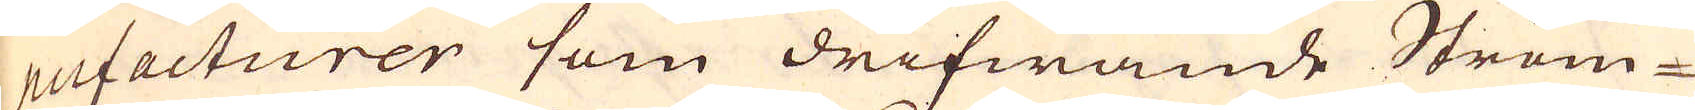nufacturer som drifwande Ström-
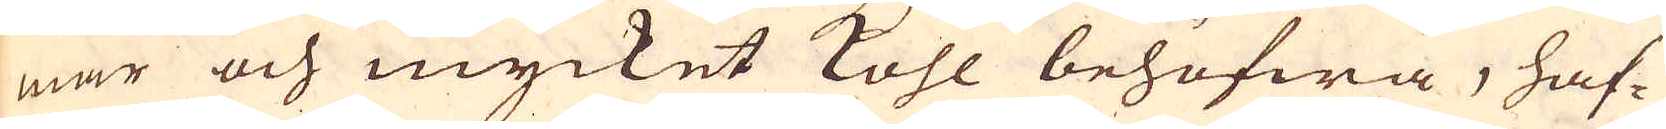mar och mycket kohl behöfwa, haf-
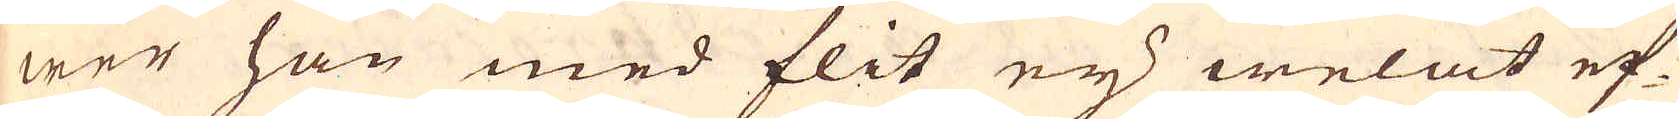wer han med flit eij welat ef-
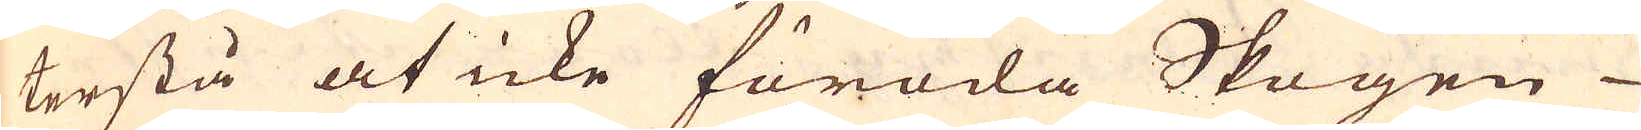terstå at icke föröda Skogen
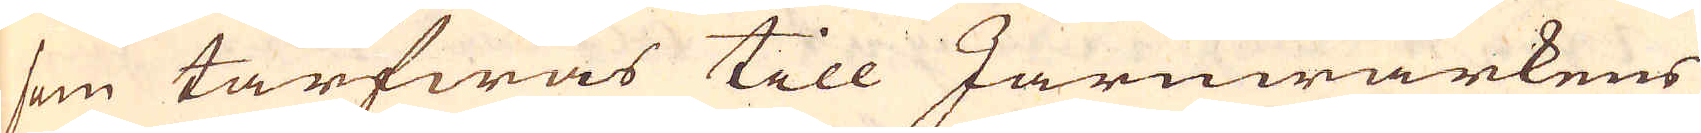som tarfwas till Järnwärkens
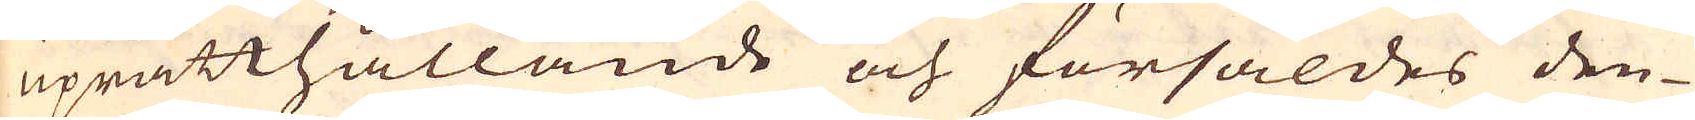uprätthållande och försåldes den-
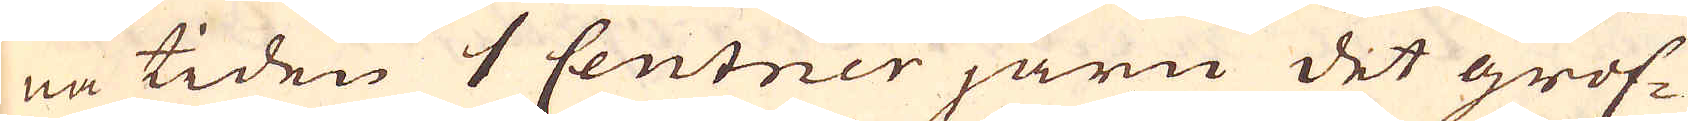na tiden 1 Centner järn det grof-
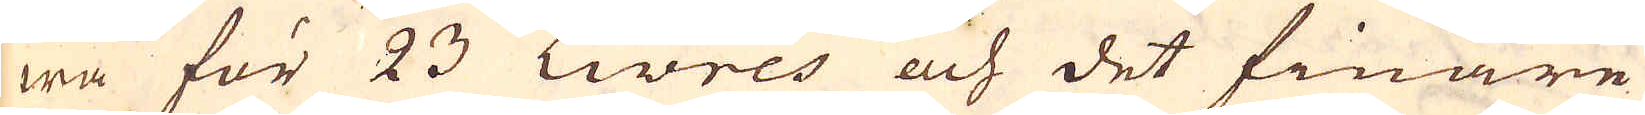wa för 23 Livres och det finare
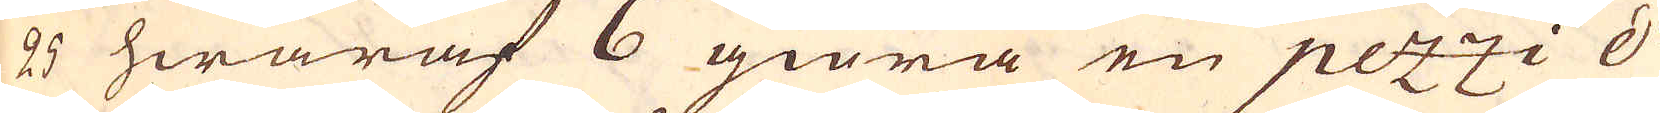25 hwaraf 6 giöra en petzzi d'
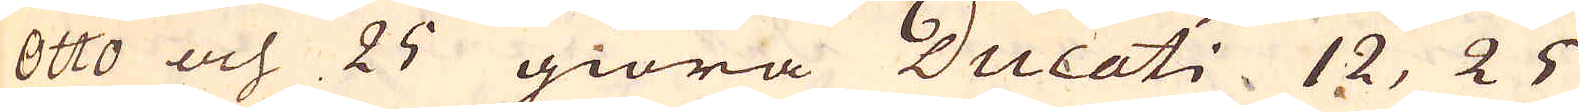Otto och 25 giöra Ducati 12, 25
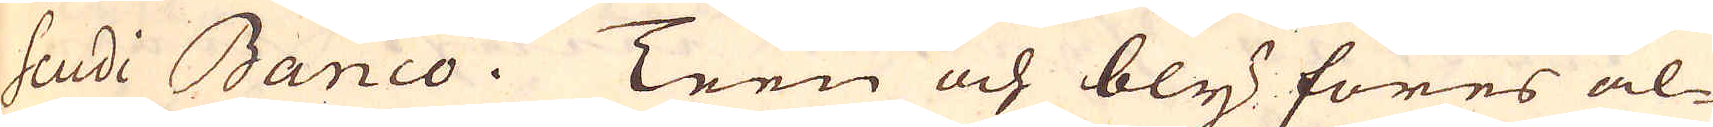Scudi Banco. Teen och bly föres al-
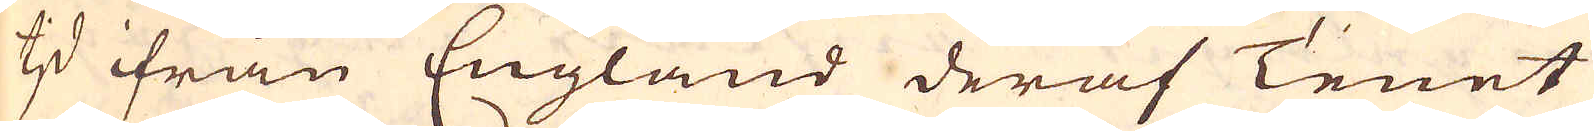tjd ifrån England deraf Tenet
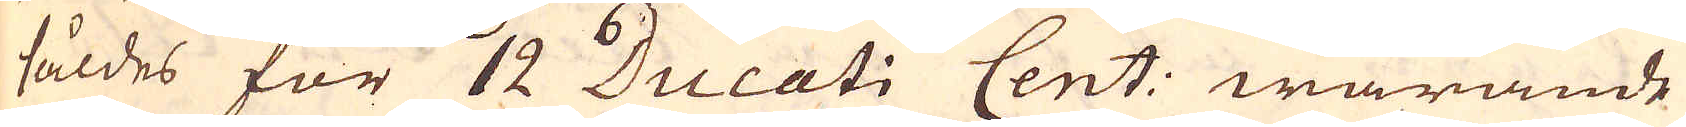såldes för 12 Ducati Cent: warande
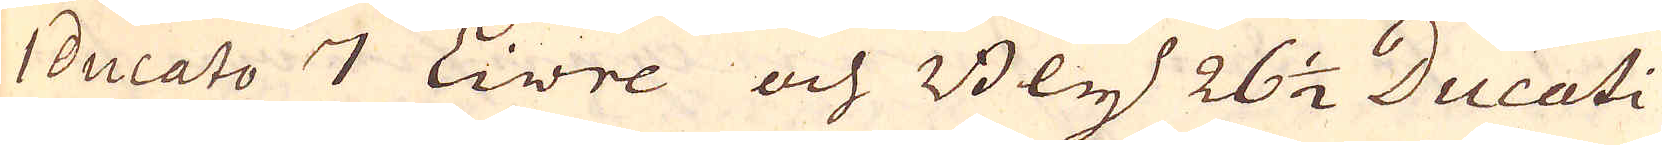1 ducato 7 Livre och Bly 26 1/2 Ducati
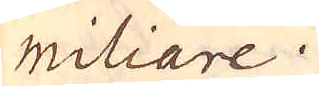mitiare.
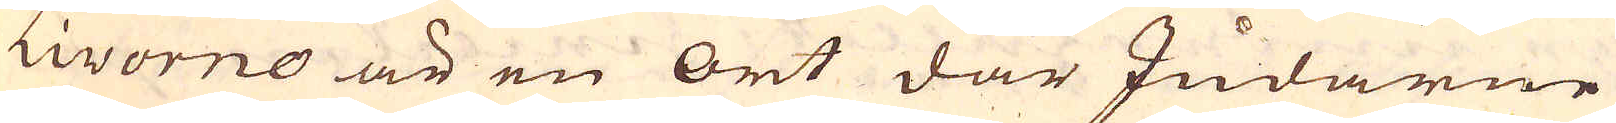Livorno är en ort där Judarne
